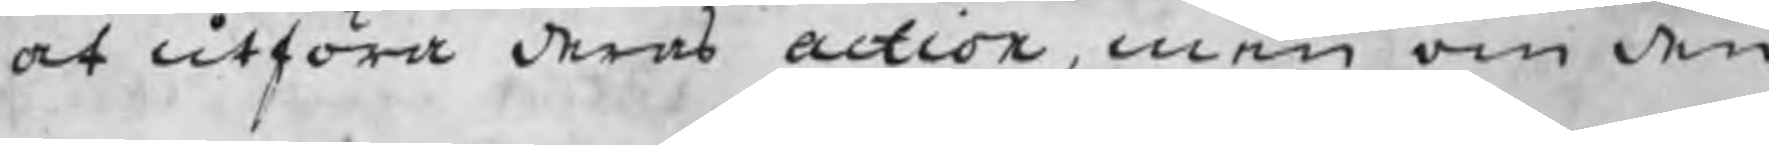at utföra deras action, men om den
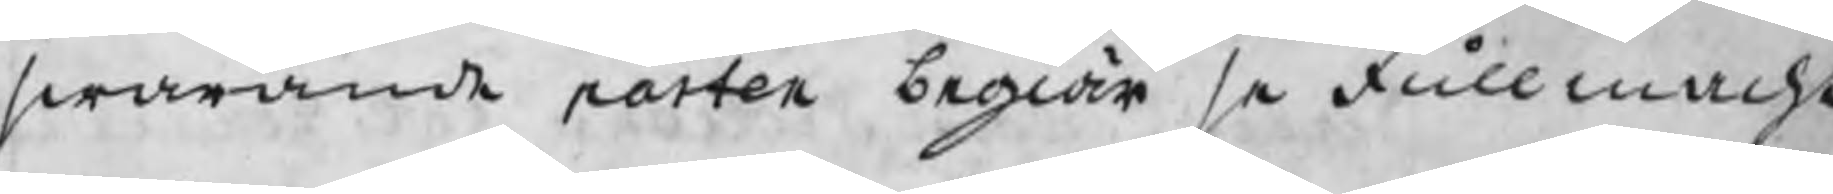swarande parten begiär se fullmacht
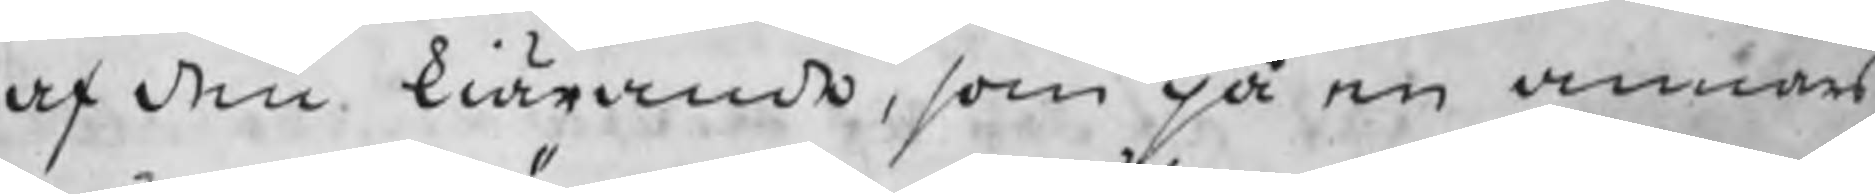af den kiärande, som på en annans
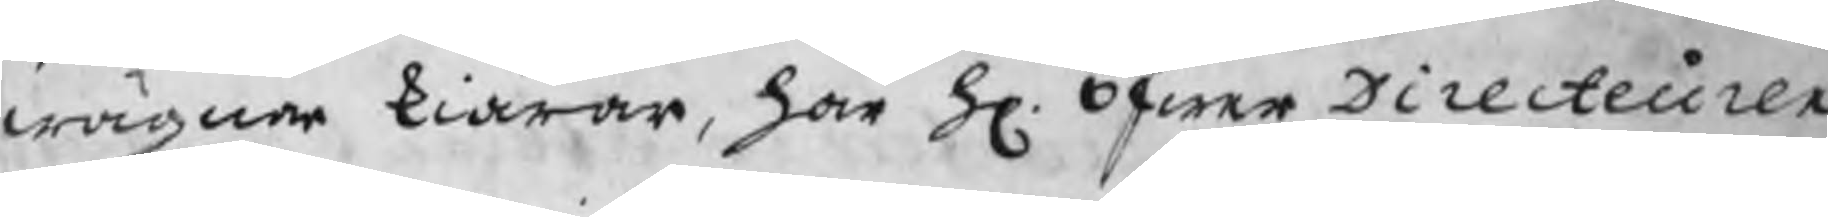wägnar kiärar, har H. ÖfwerDirecteuren
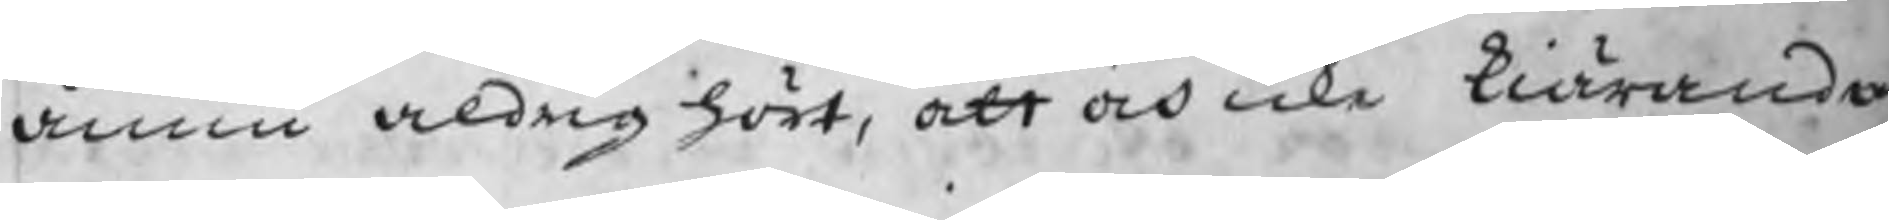ännu aldrig hört, att och icke kiäranden
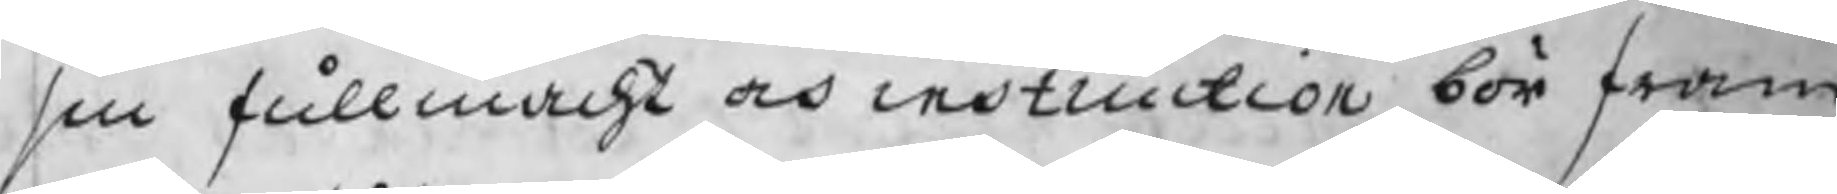sin fullmacht och instruction bör fram
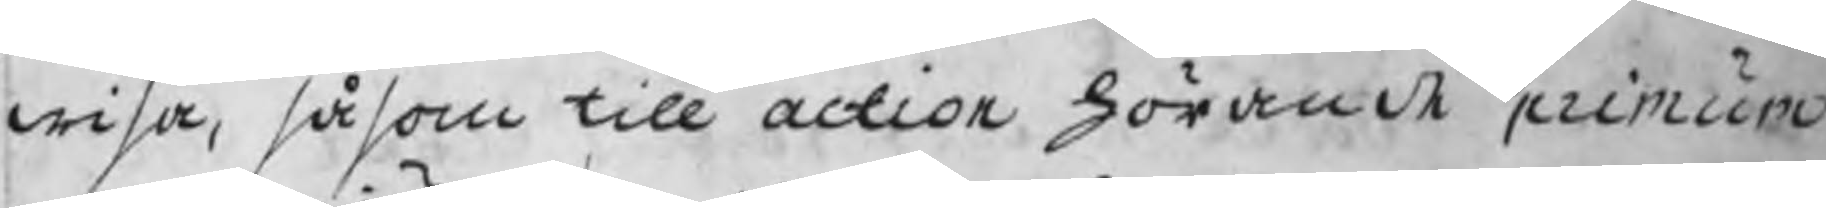wisa, såsom till action hörande primum
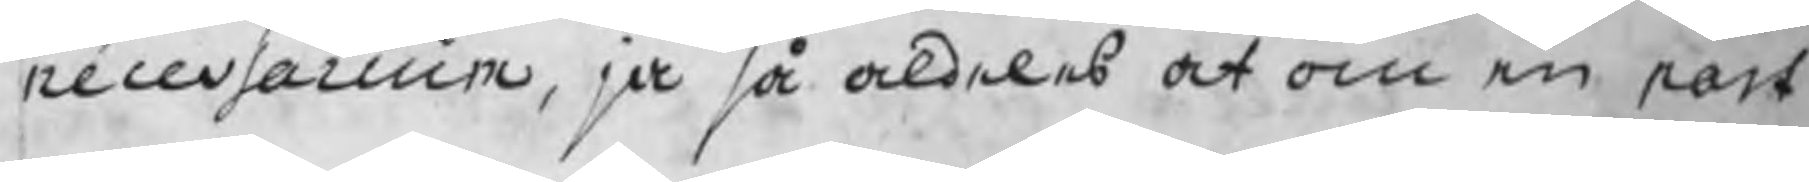necessarium, ja så aldeles at om en part
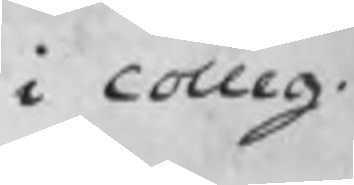i colleg.
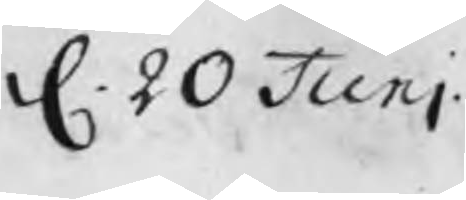d. 20 Juni
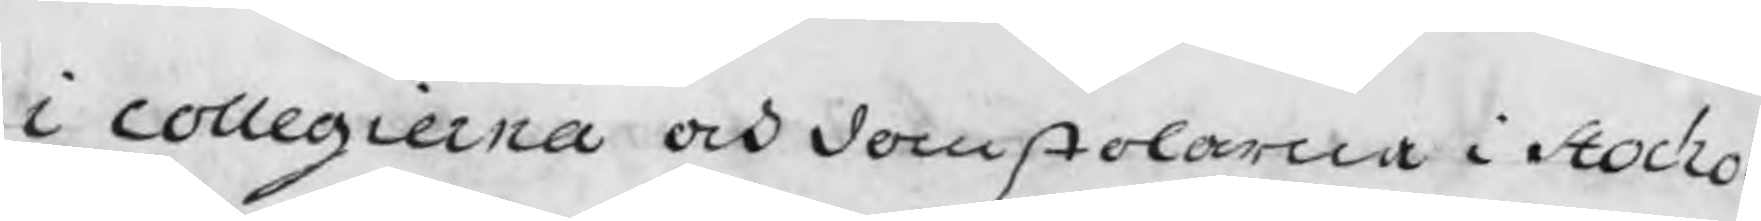i collegierna och domstolarna i Stochol
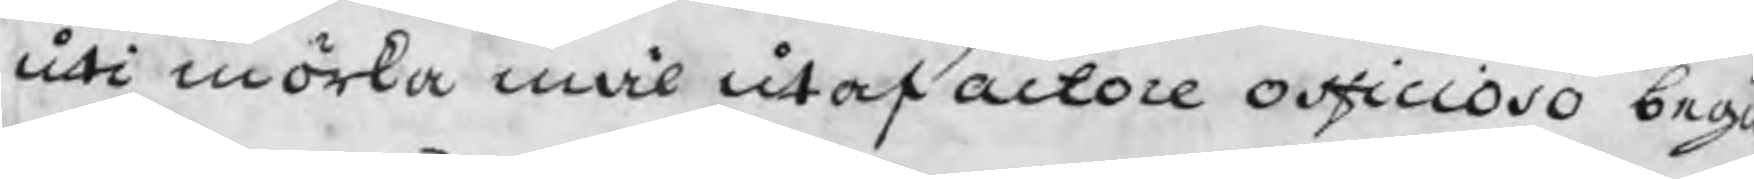uti mörka mål utaf actore officioso begi
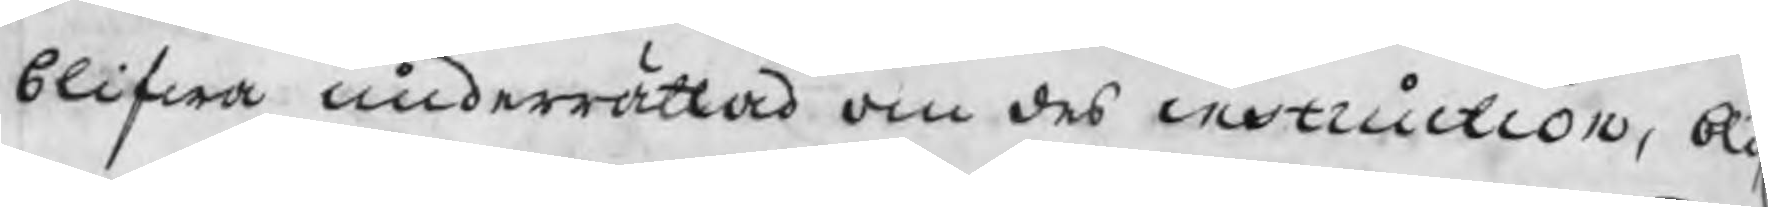blifwa underrättad om des instruction, bli
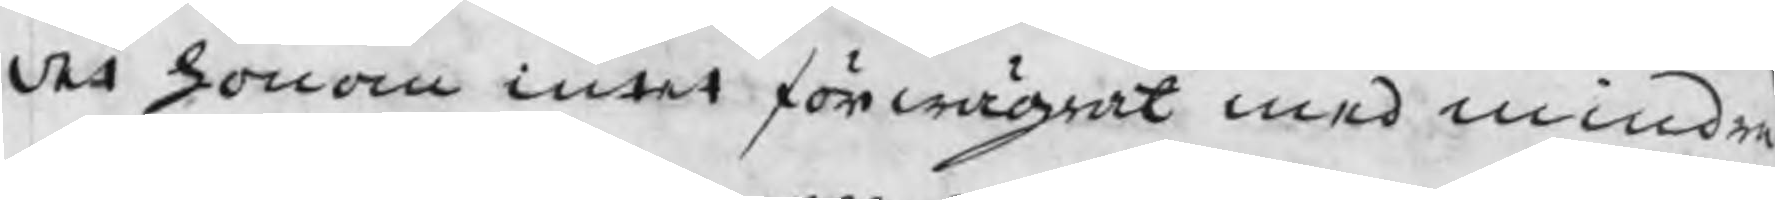det honom intet förwägrat med mindre
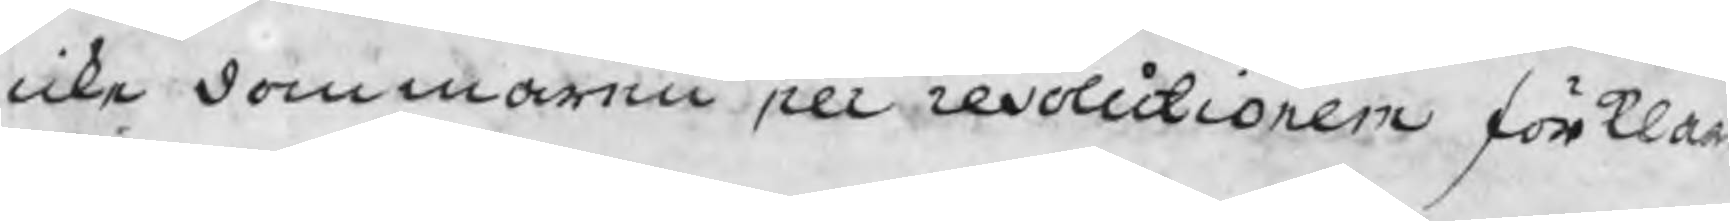icke dommaren per resolutionem förklar
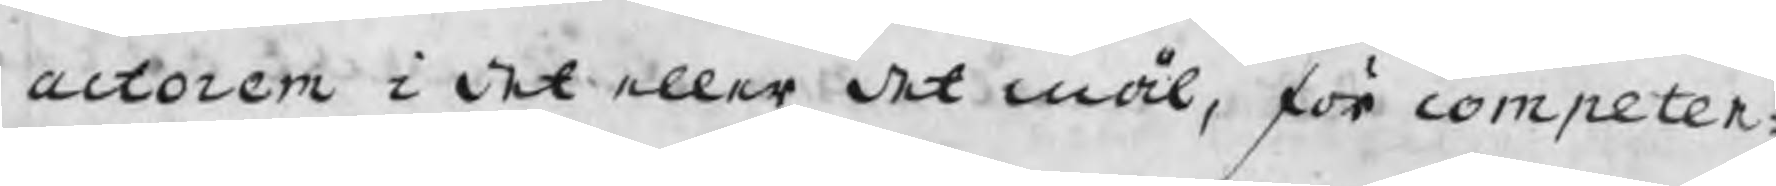actoren i det eller det mål, för competen¬
